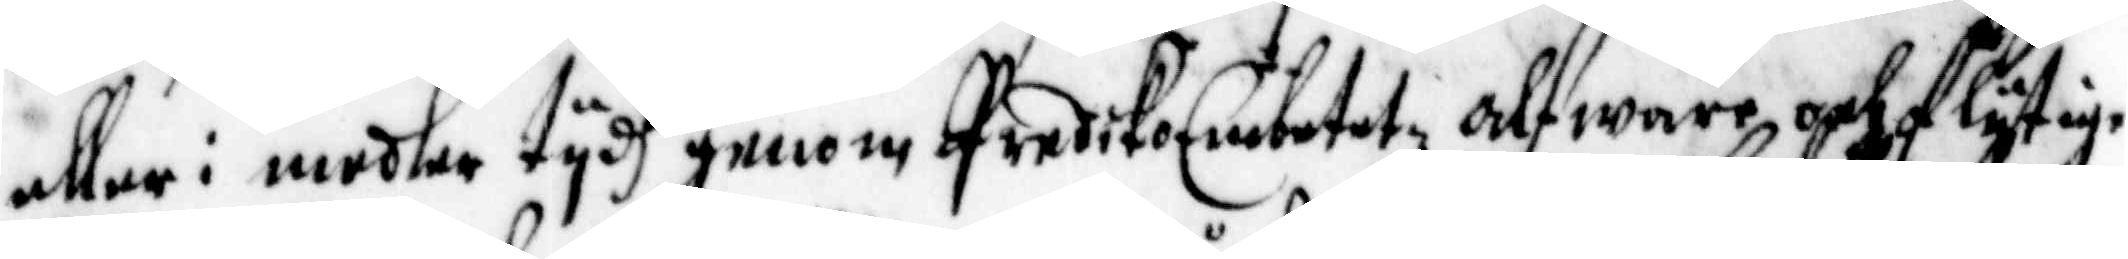eller i medler tydh genom predikoEmbetetz alfwarr och flytige
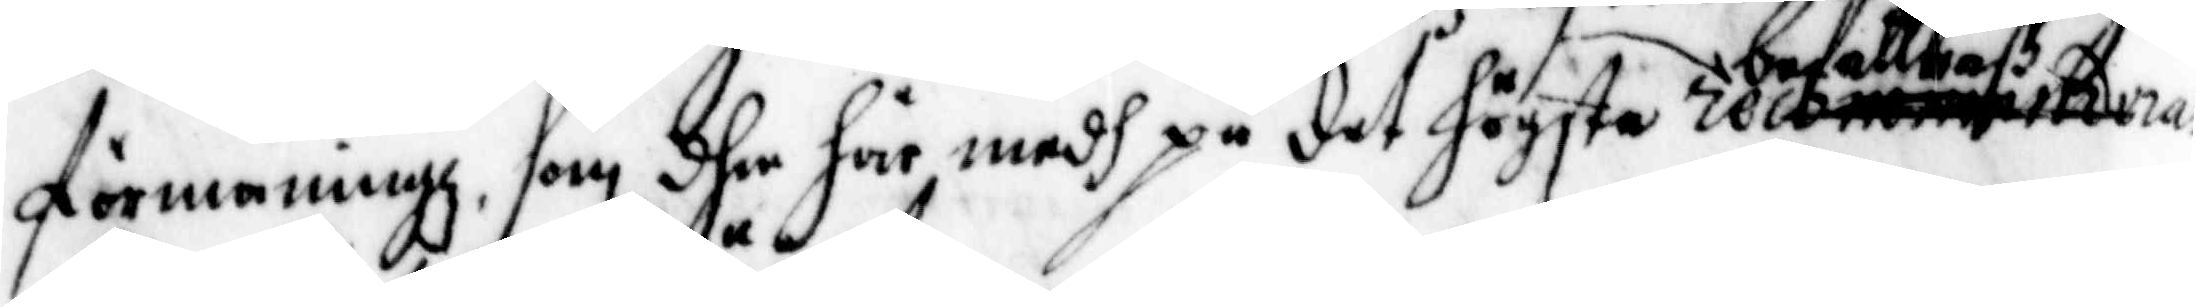förmaningz, som dhe här medh på det högsta befallaß
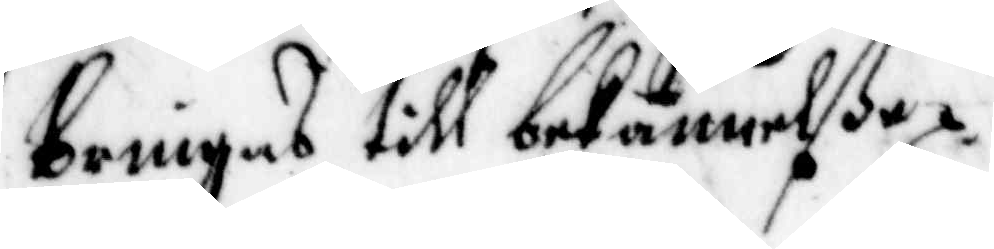bringas till bekännelße.
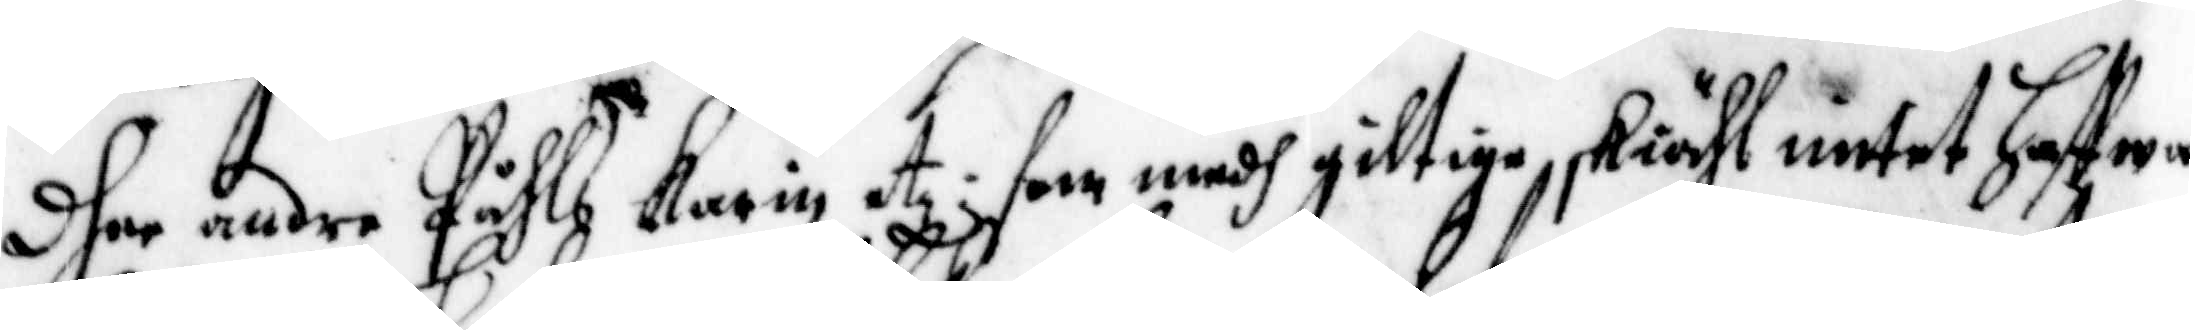Dher andre Påhls Karin etz: som medh giltige skiähl intet haffwa
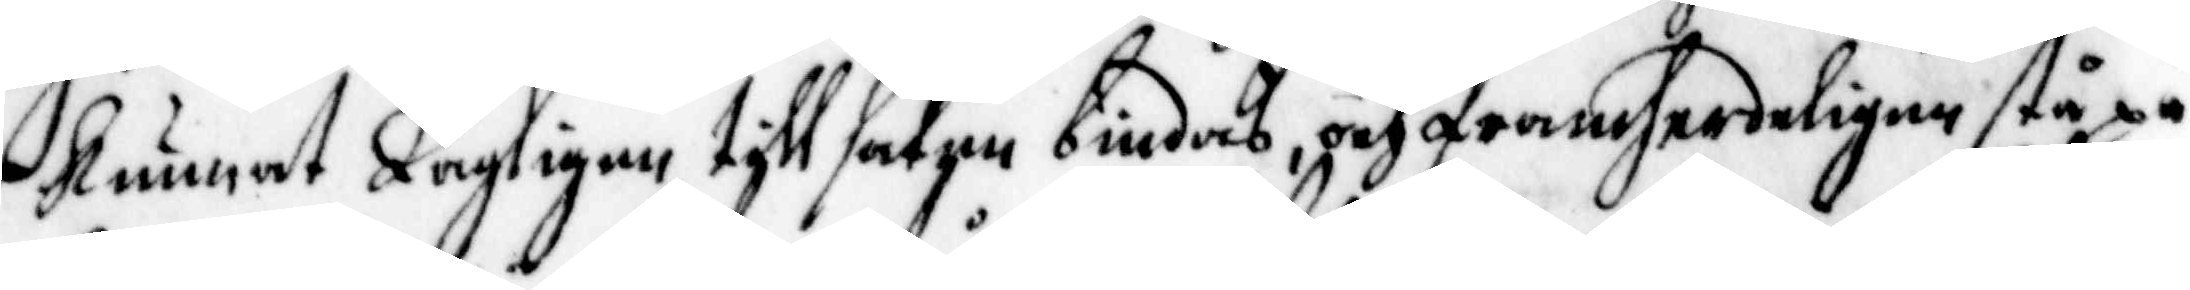kunnat lagligen till saken bindas, och framherdeligen stå på
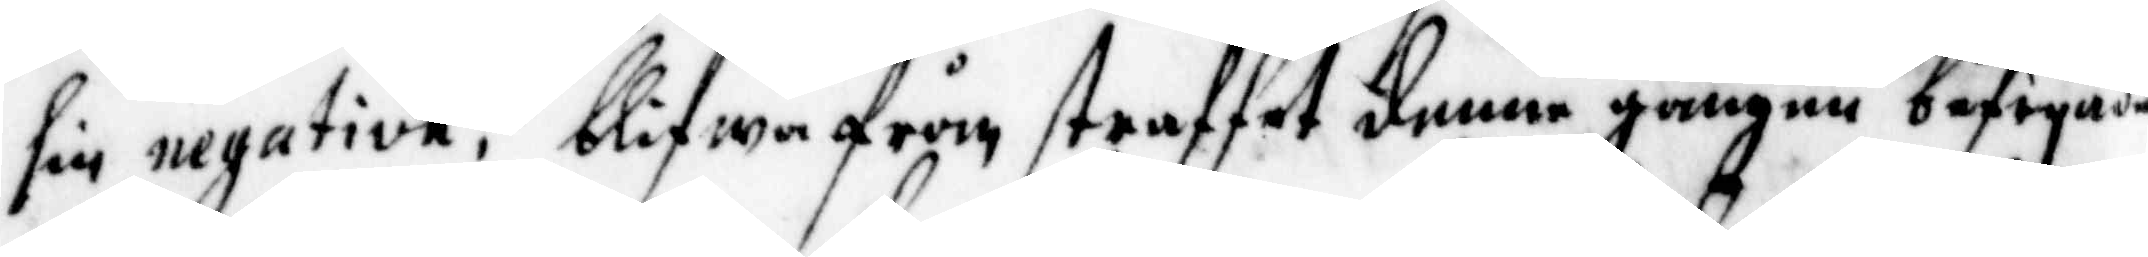sin negativa; blifwa från straffet denna gången befryade
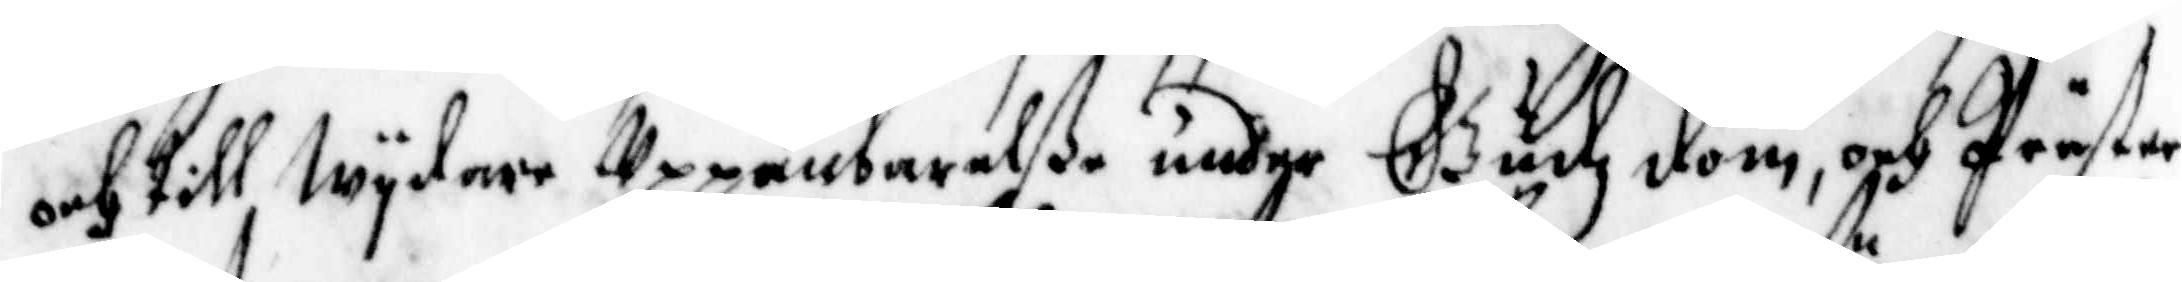och till wydare Uppanbarelße under Gudz dom, och Präster¬
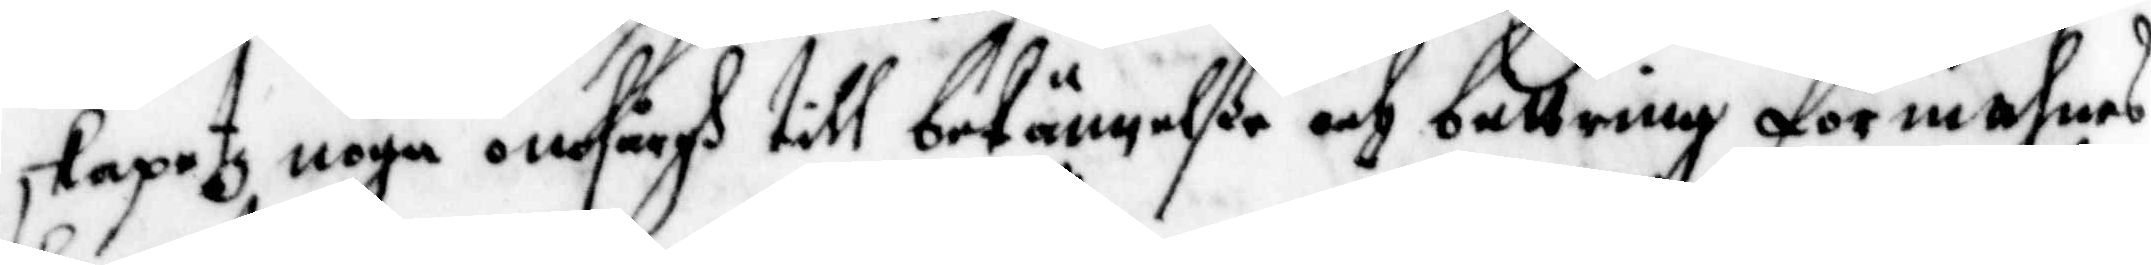skapetz noga omsårgh till bekännelße och bettring förmahnas
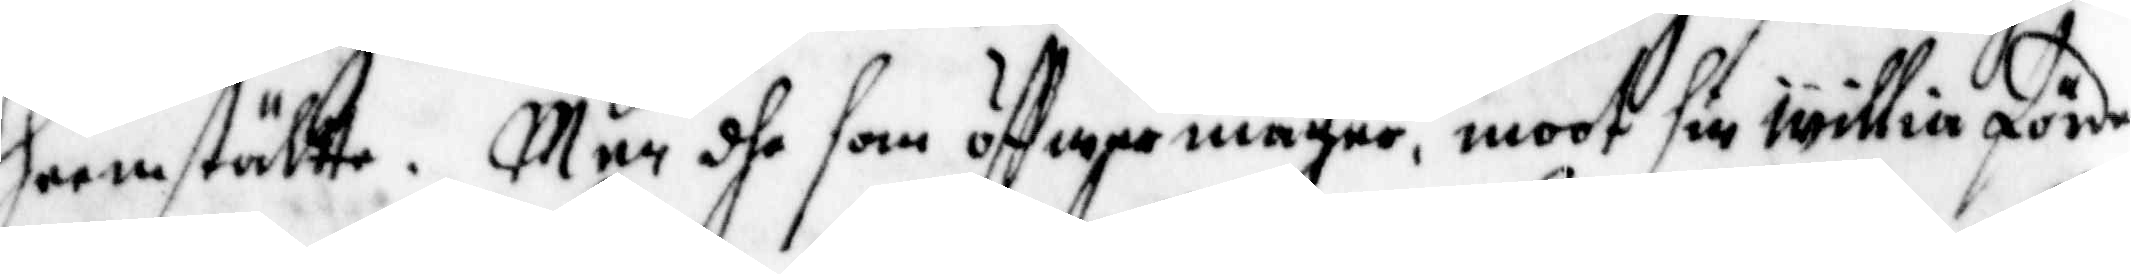hemställte. Men dhe som öffwermagre, moot sin willia förde
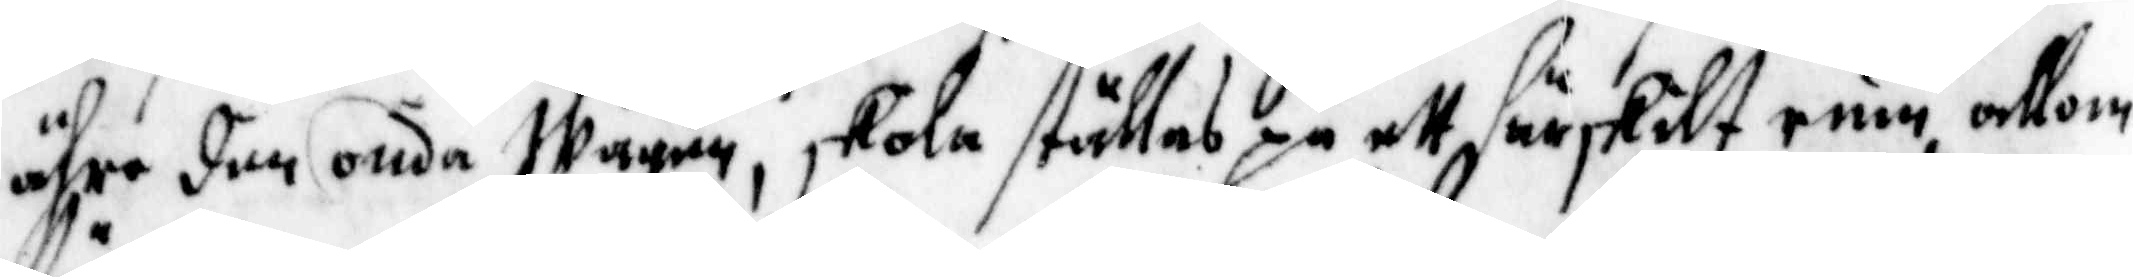ähre den onda Wägen, skola ställas på ett särskilt rum allom
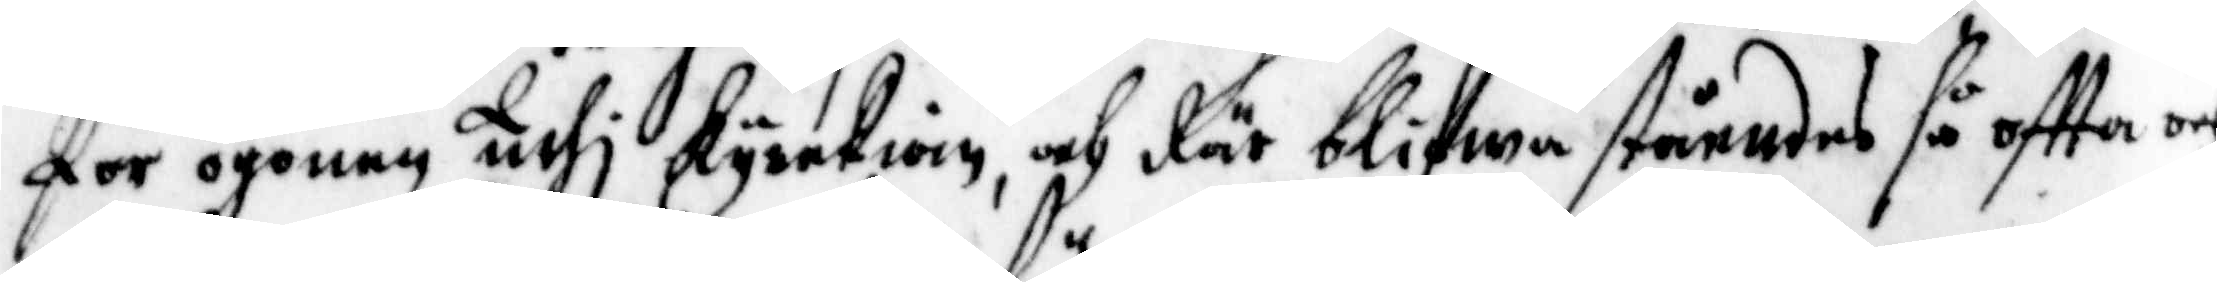för ögonen uthj kyrckian, och där blifwa ståendes så offta och
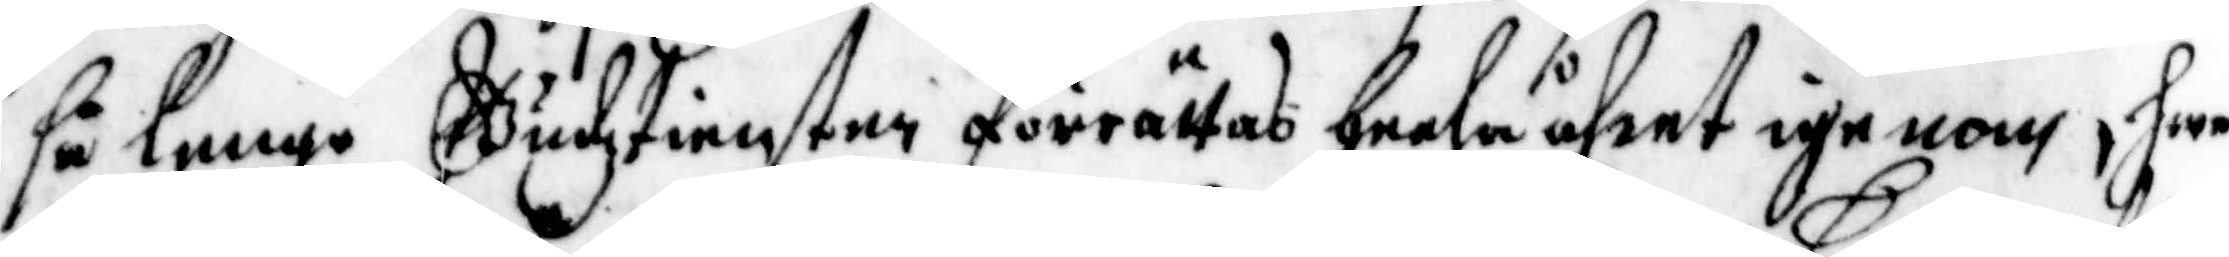så lenge Gudztiensten förrättas heela åhret igenom, hwar¬
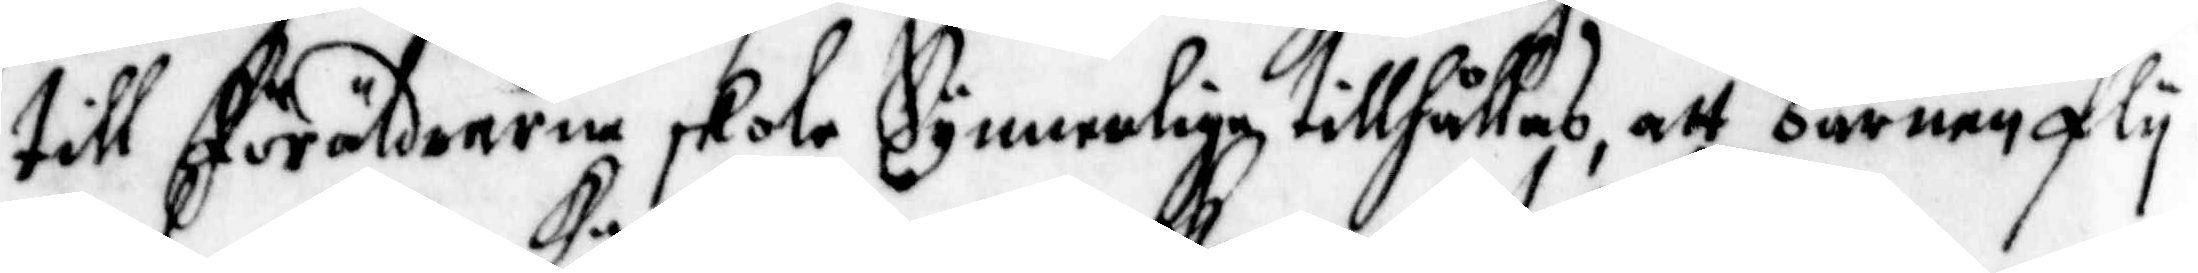till föräldrarne skola Synnerlige tillhållas, att barnen fly¬
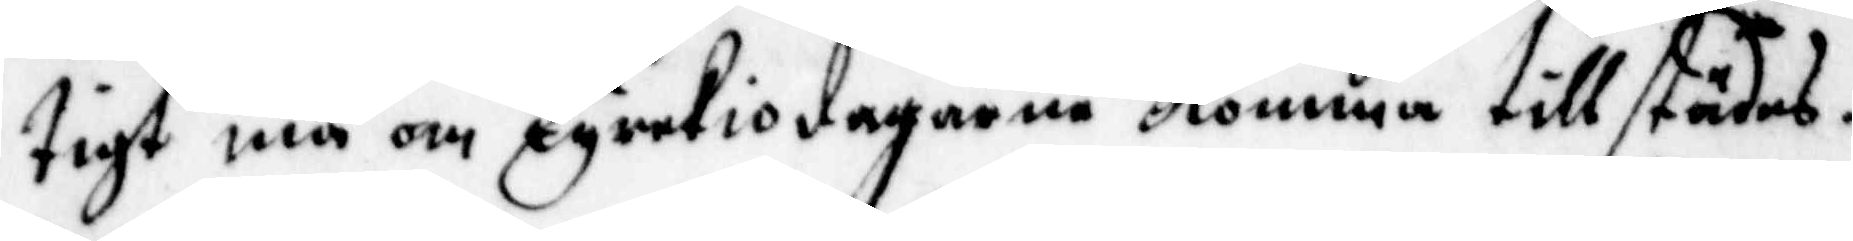tigt må om Kyrkiodagarna komma tillstädes.
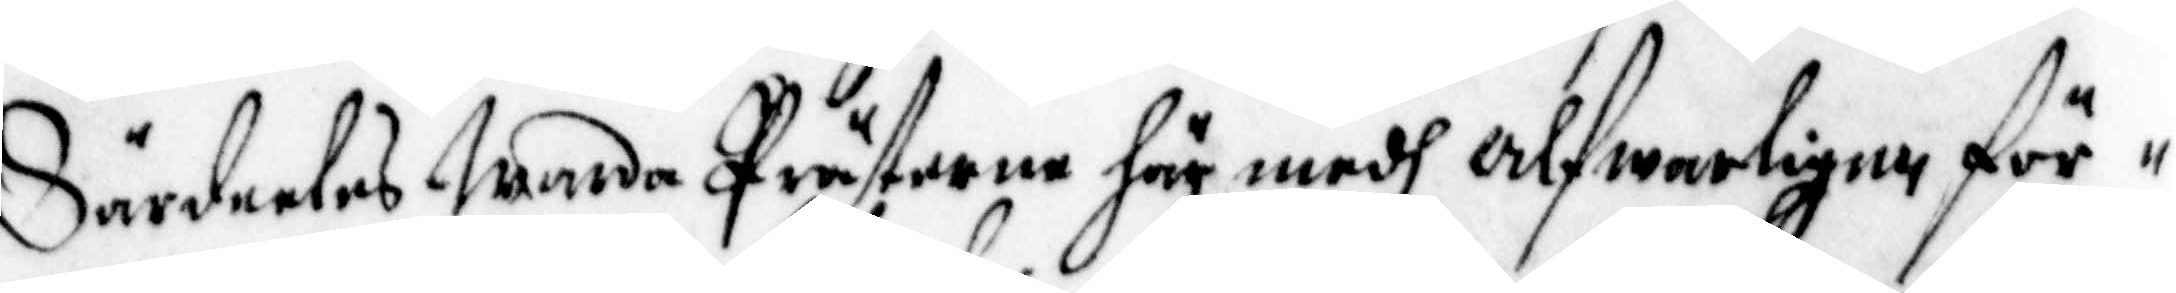Särdeles warda Prästerne här medh Alfwarligen för¬
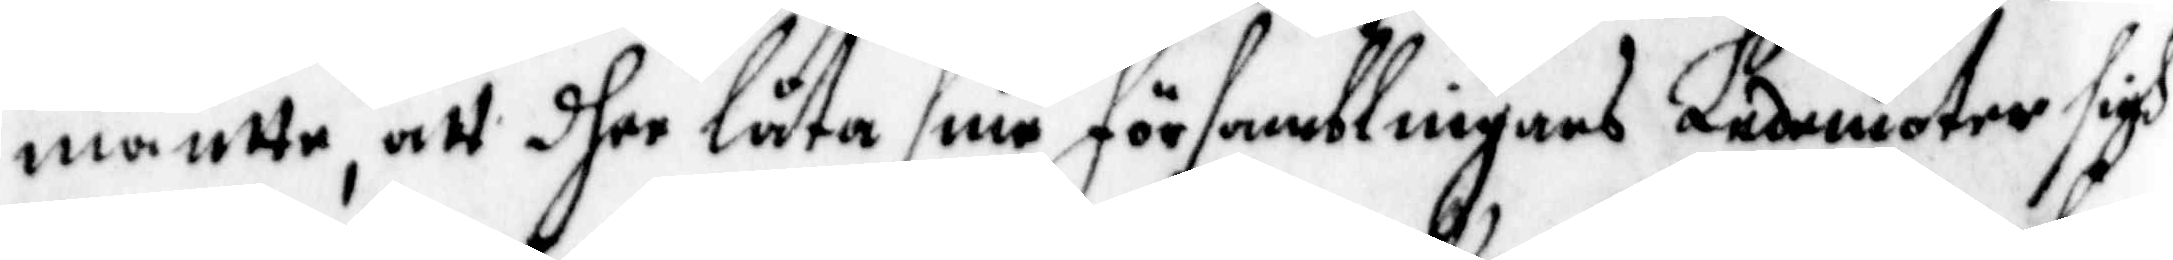mantte, att dher låta sine församblingars Ledemoter sigh
